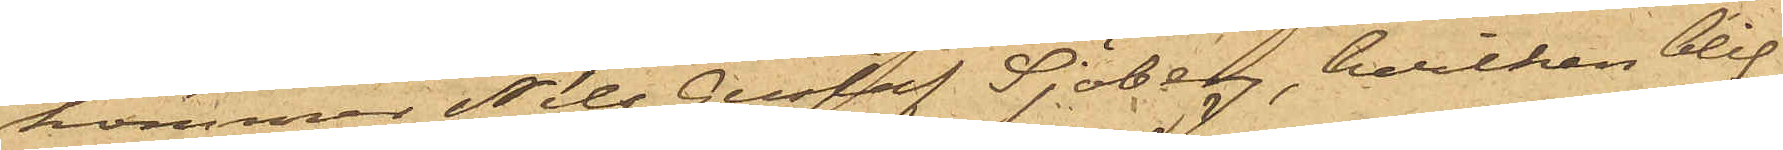kommer Nils Gustaf Sjöberg, hvilken blif¬
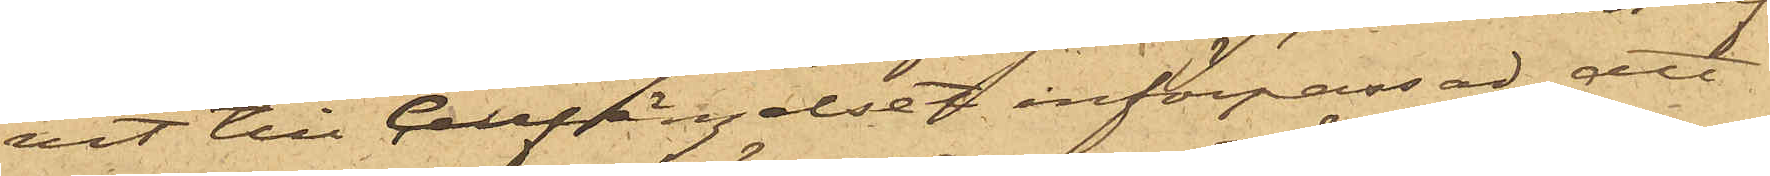vit till Cellfängelset införpassad, att
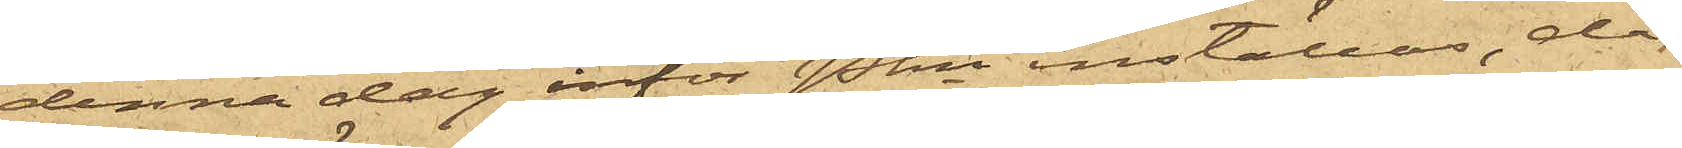denna dag inför Pkn inställas, då
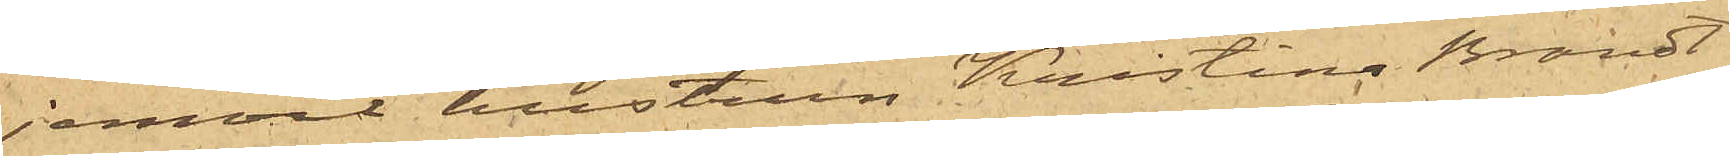jemväl hustrun Kristina Brandt
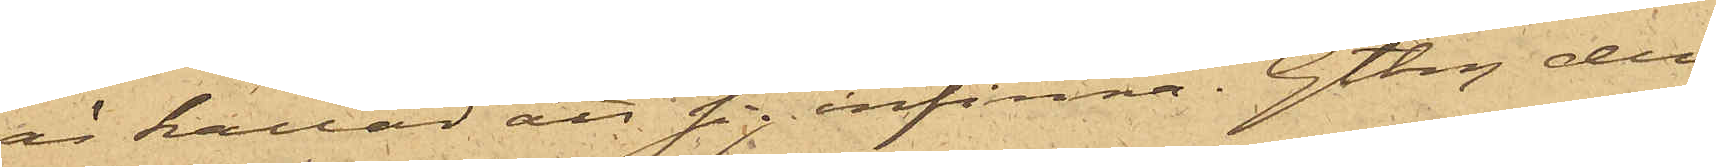är kallad att sig infinna. Gtbg den
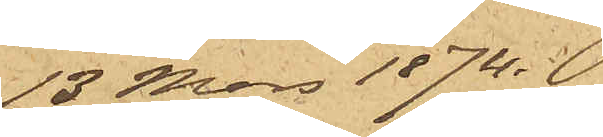13 Mars 1874.
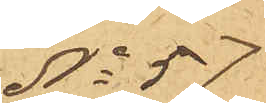No 57
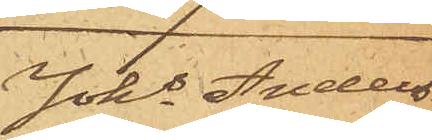Johs Anders¬
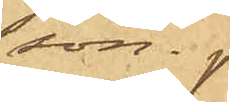son.
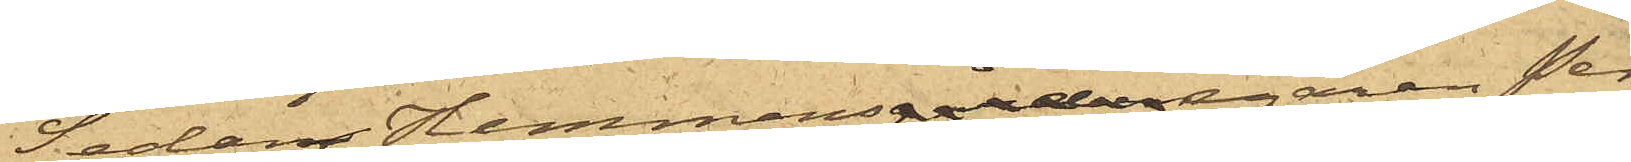Sedan Hemmansgårdsegaren Per
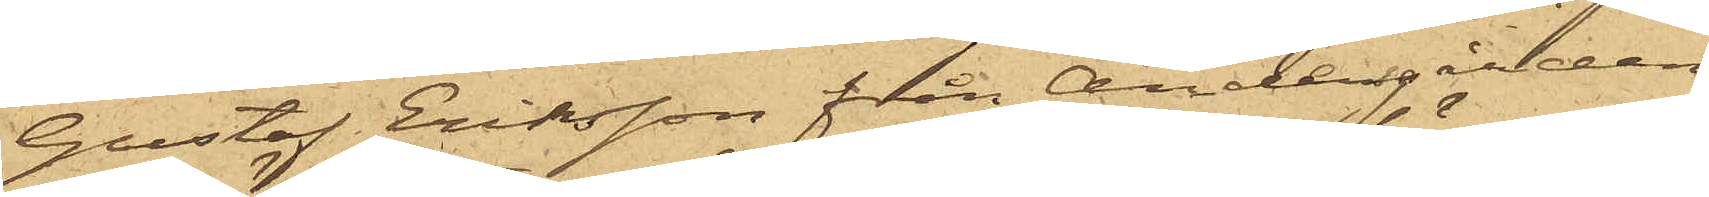Gustaf Eriksson från Andersgården
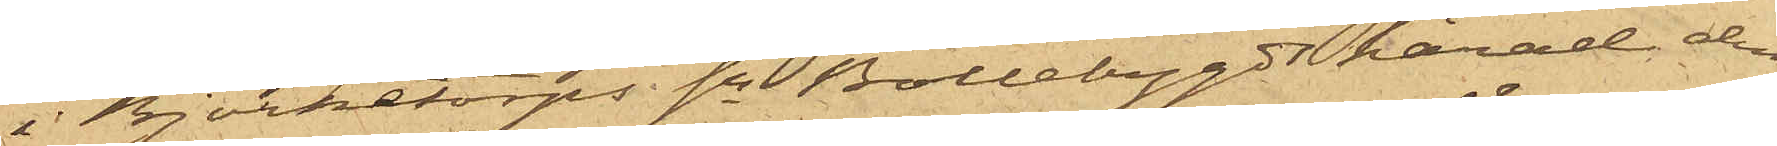i Björketorps sn Bollebygds härad den
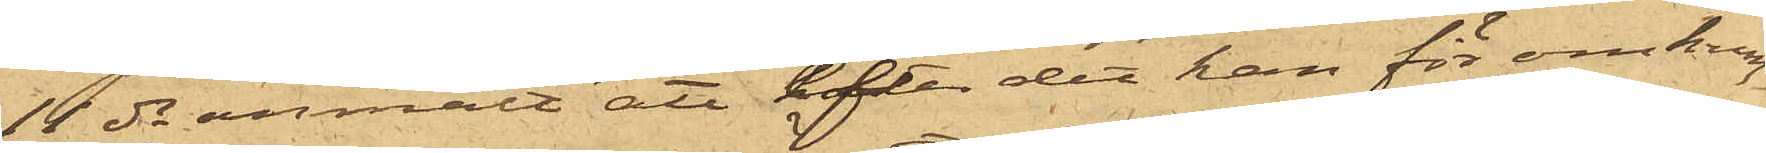11 ds anmält att efter det han för omkring
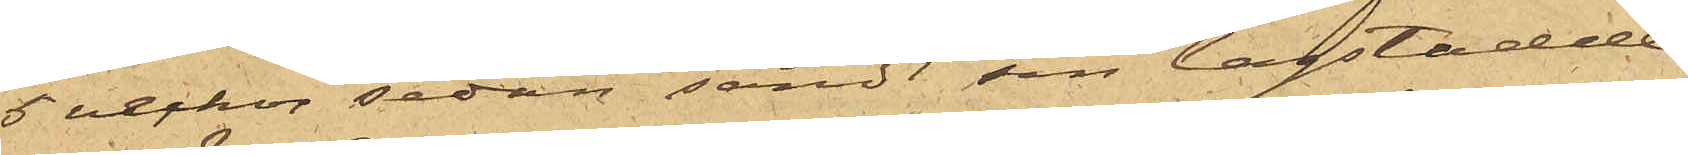5 veckor sedan sändt sin lagstadde
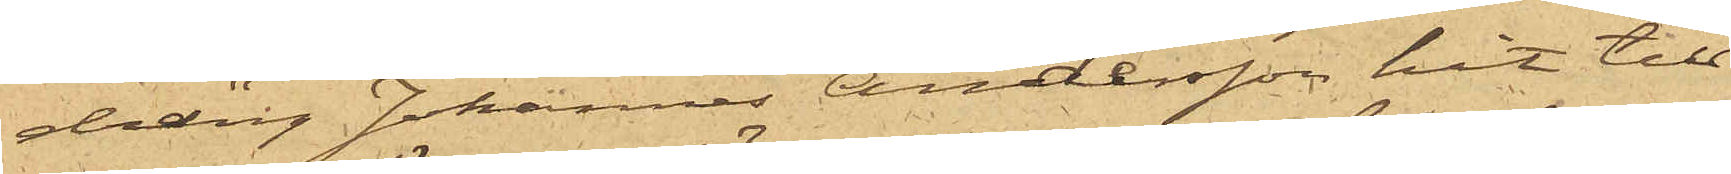dräng Johannes Andersson hit till
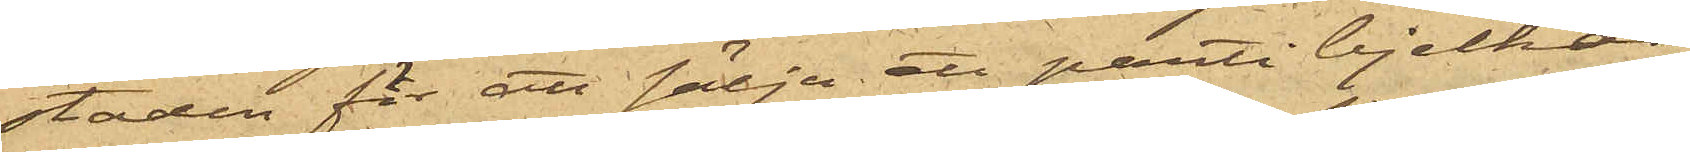staden för att sälja att parti bjelkar,
